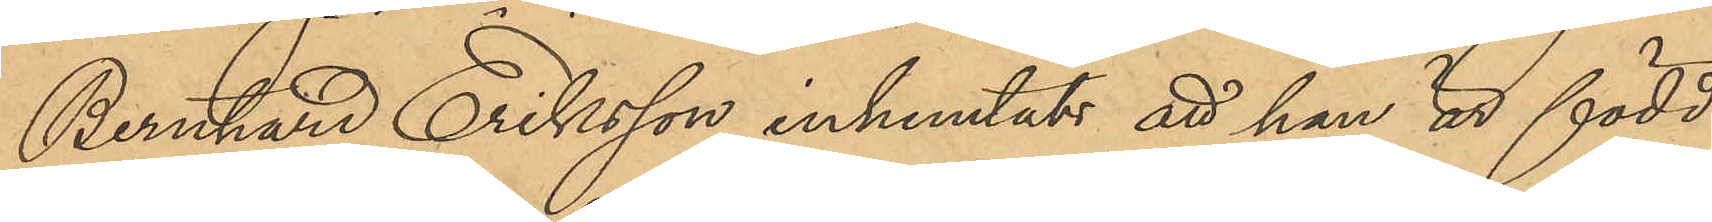Bernhard Eriksson inhemtats att han är född
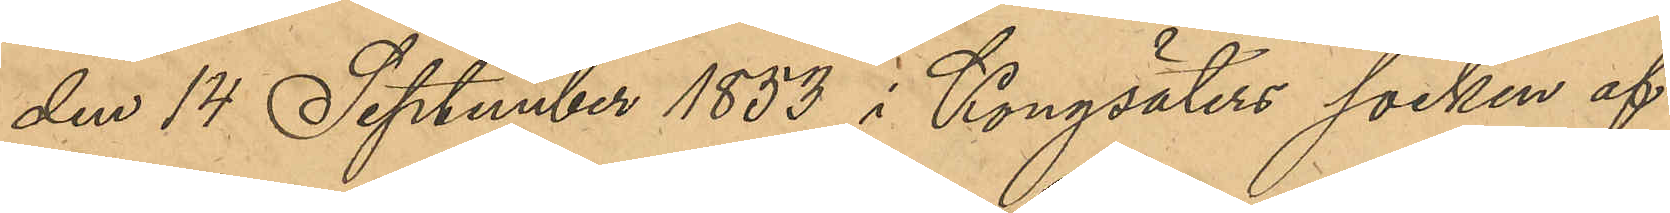den 14 September 1853 i Kungälvs socken af
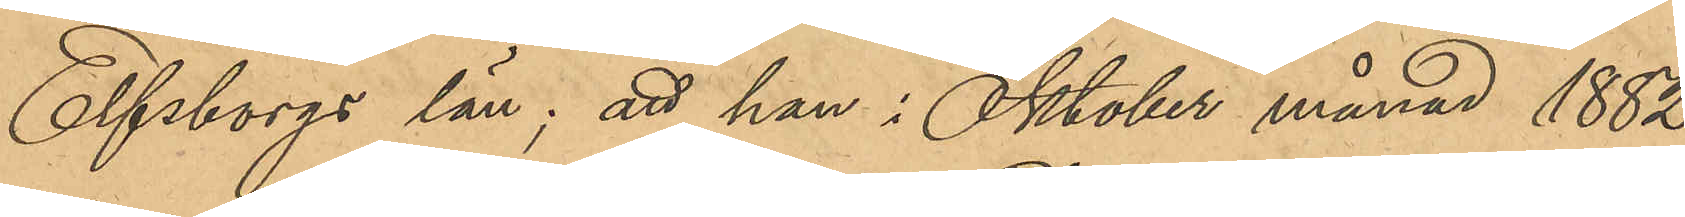Elfsborgs län; att han i Oktober månad 1882
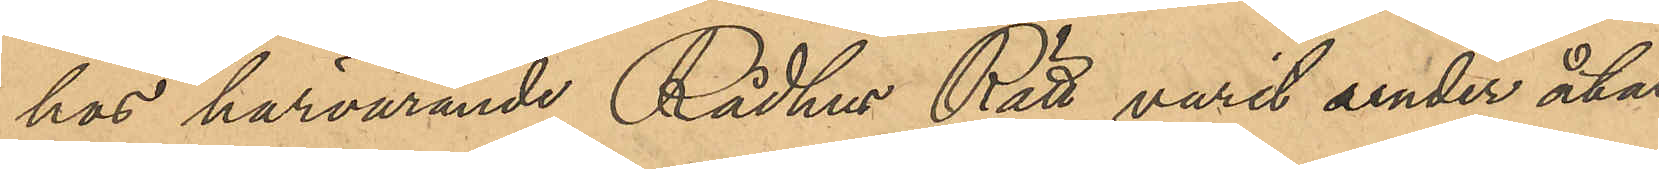hos härvarande Rådhus Rätt varit under åtal
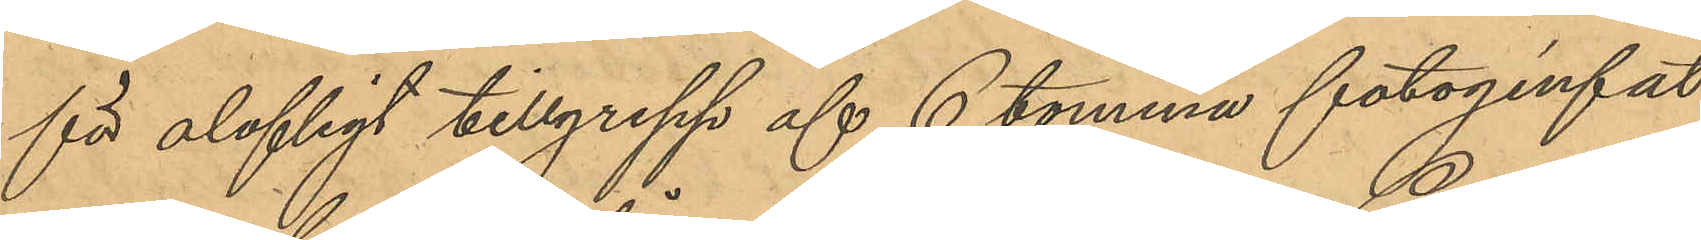för olofligt tillgrepp af 6 tomma fotogénfat
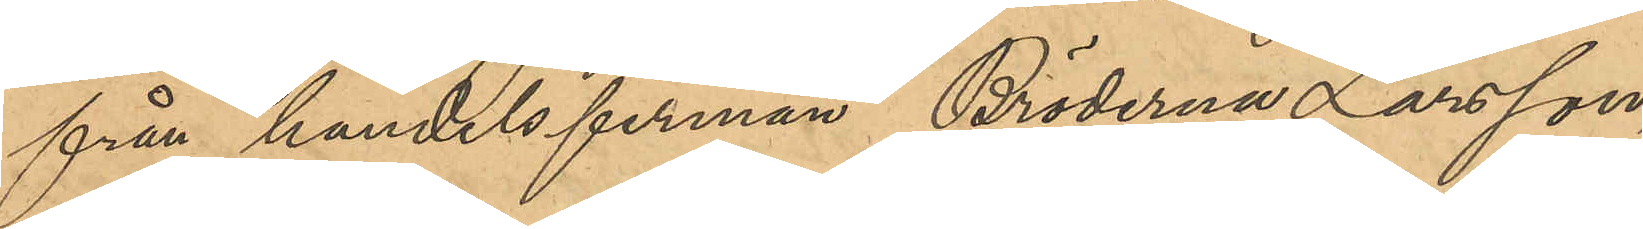från Handelsfirman Bröderna Larsson,
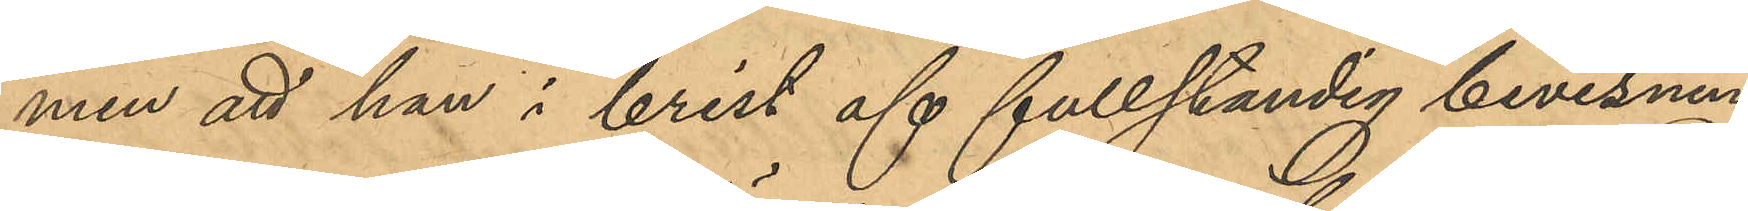men att han i brist af fullständig bevisning
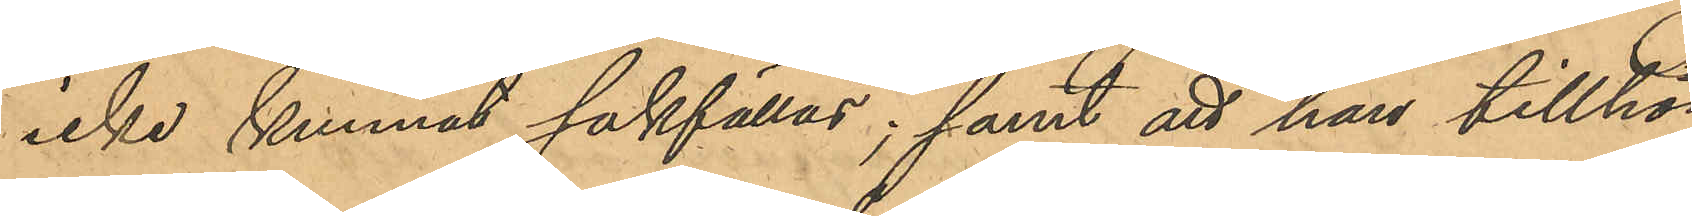icke kunnat sakfällas; samt att han tillhör
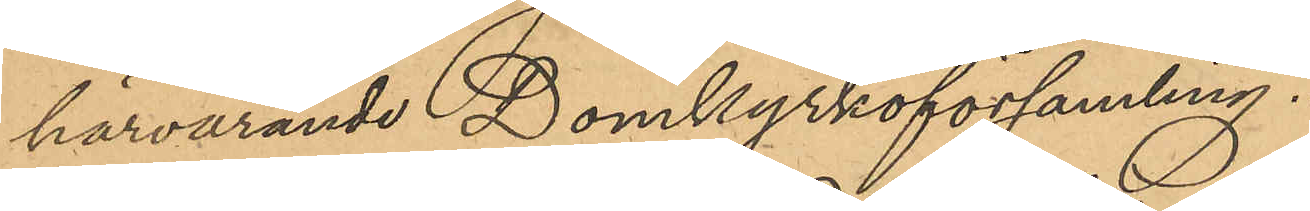härvarande Domkyrkoförsamling.
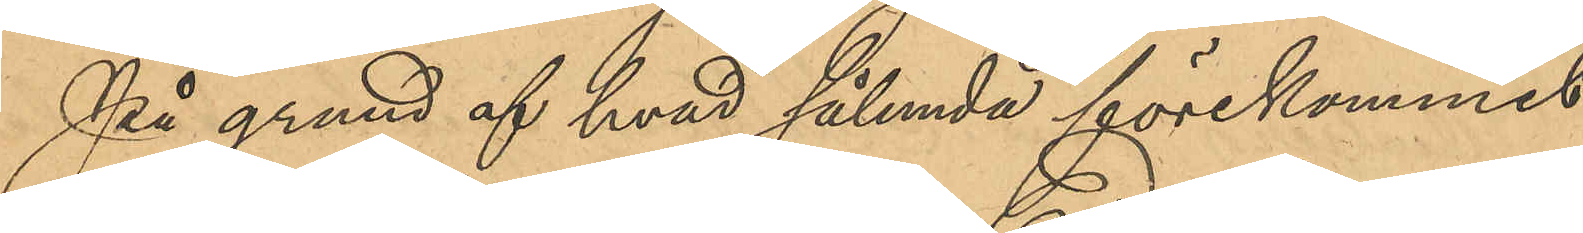På grund af hvad sålunda förekommit
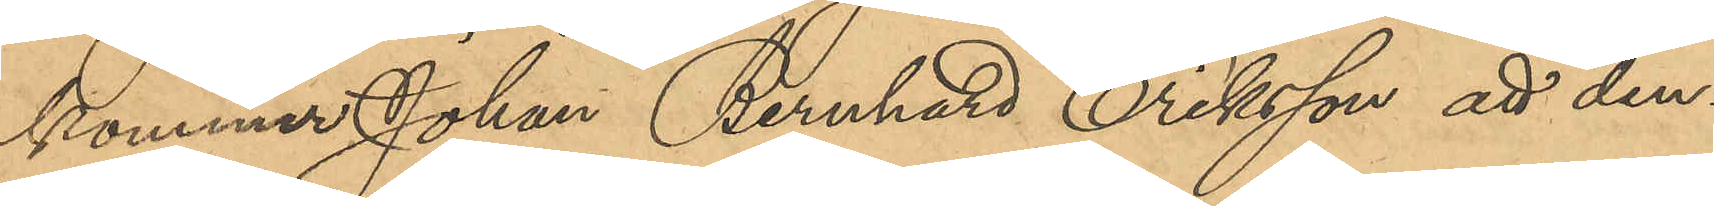kommer Johan Bernhard Eriksson att den¬
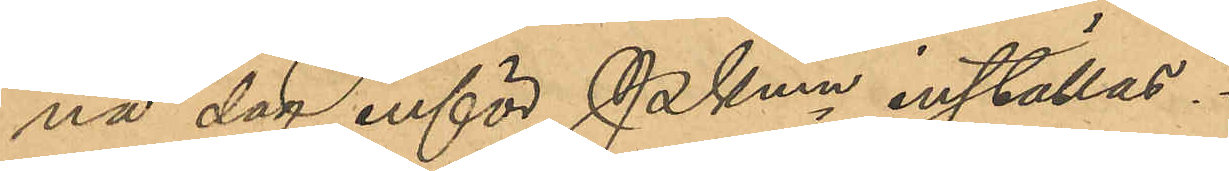na dag inför PKmn inställas.
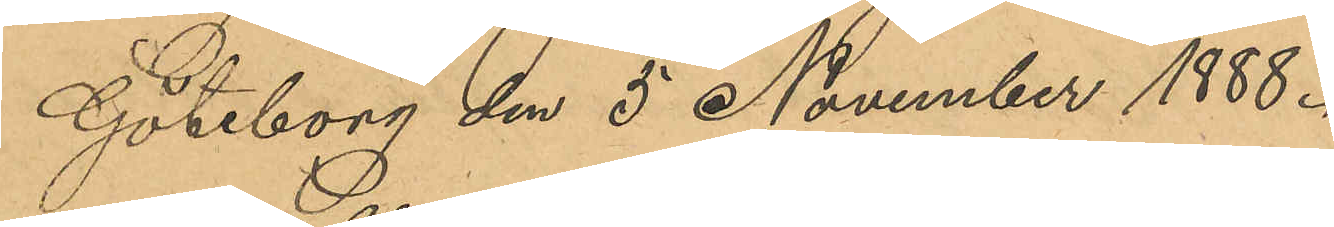Göteborg den 5 November 1888.
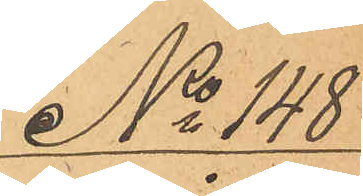No 148
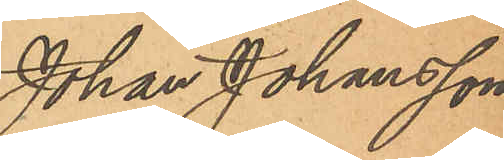Johan Johansson
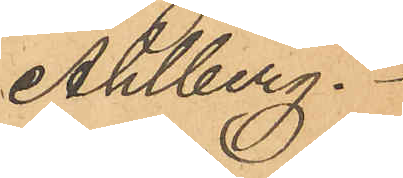Ahlberg.
